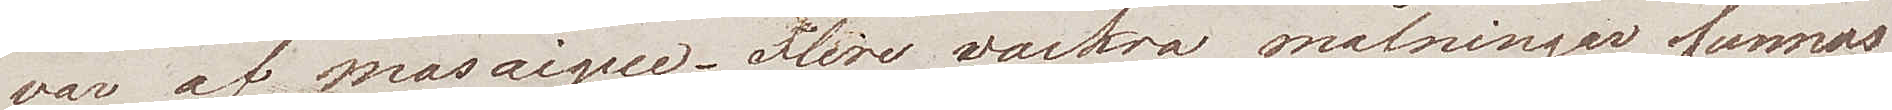var af mosaique. Flere vackra målningar  funnos
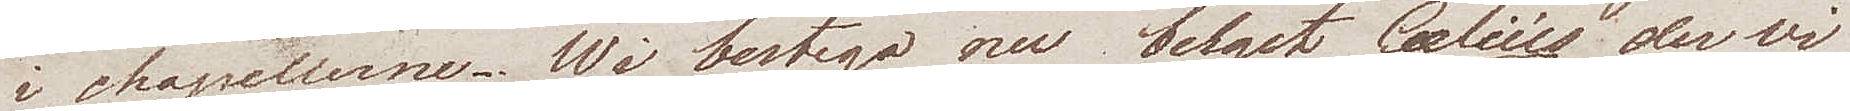i chapellerne. Wi bestego nu berget Caelius der vi
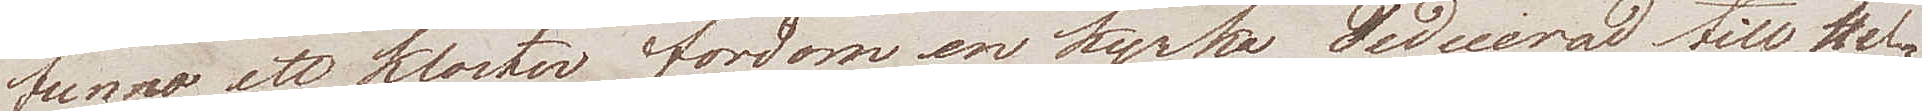funno ett kloster, fordom en kyrka dedicerad till Hel¬
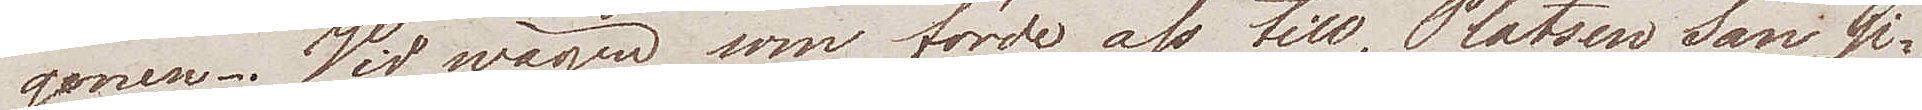gonen. Vid wägen som förde oss till Platsen San Gi¬
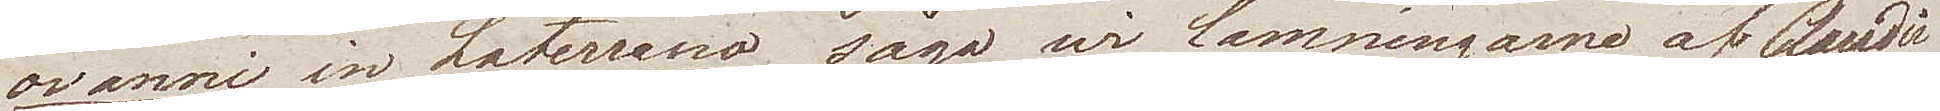ovanni in Laterrano, sågo wi lämningarne af Claudii
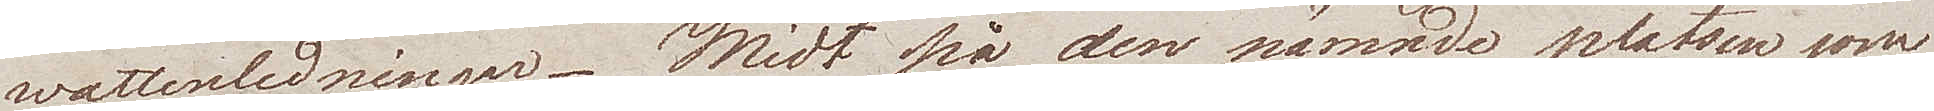watttenledningar. Midt på den nämnde platsen som
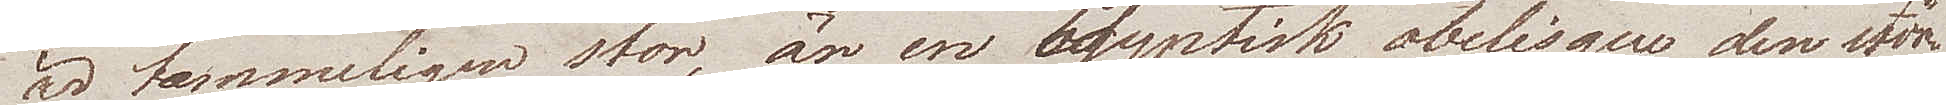är tämmeligen stor, är en Egyptisk obelisque, den stör¬
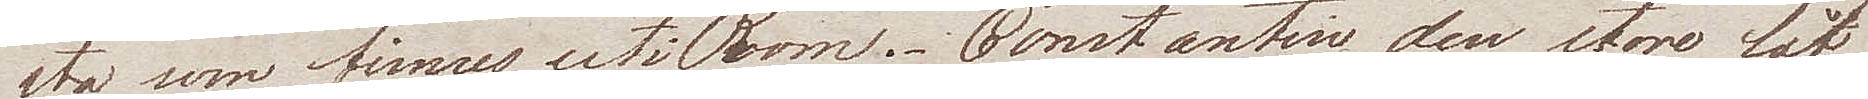sta som finnes uti Rom. Constantin den store lät
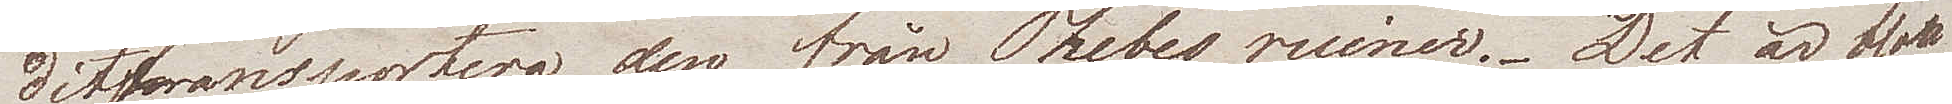dittransportera den från Thebes ruiner. Det är blott
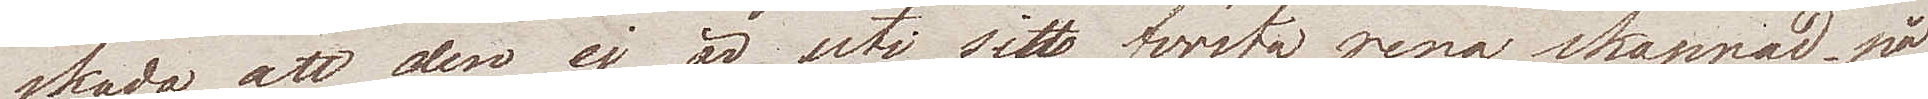skada att den ej är uti sin första rena skepnad. på
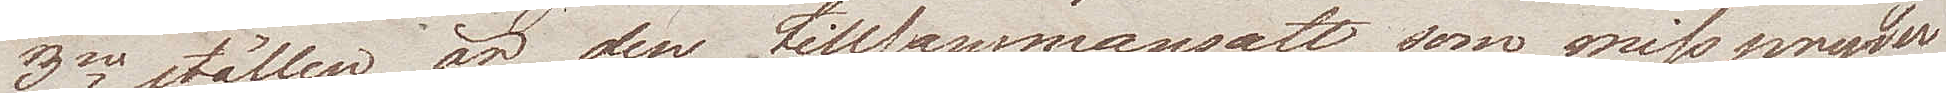3ne ställen är den tillsammansatt, som misspryder
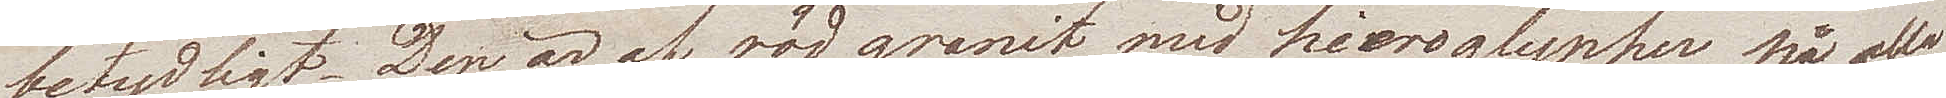betydligt. Den är af röd granit med hieroglypher på alla
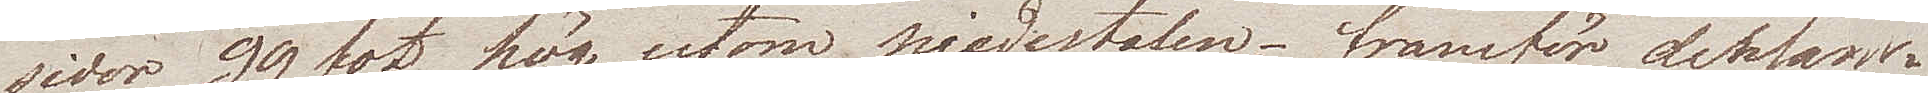sidor, 99 fot hög utom piedestalen, – framför densam¬
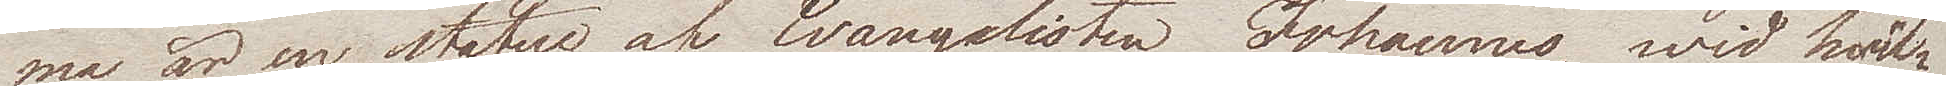ma är en statue af Evangelisten Johannes, wid hvil¬
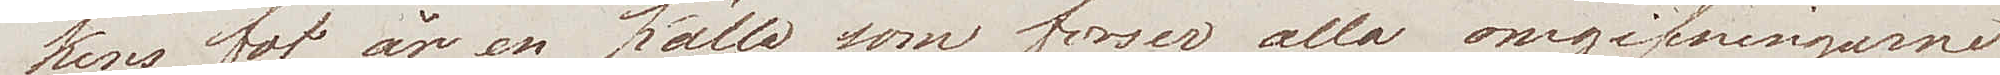kens fot är en källa som förser alla omgifningarne
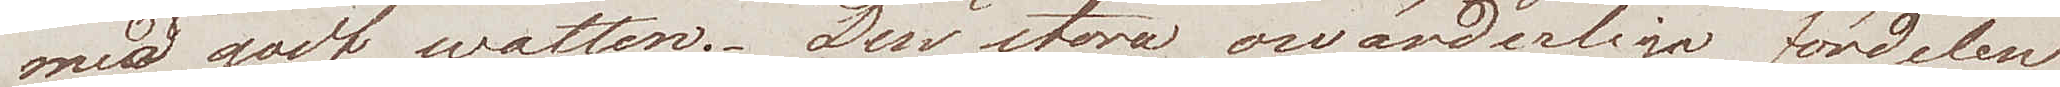med godt watten. Den stora, ovärderliga fördelen
